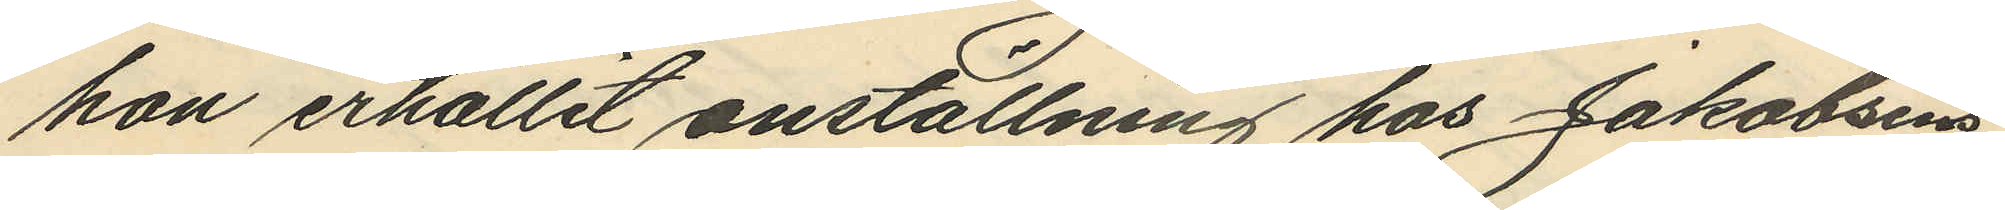hon erhållit anställning hos Jakobsens
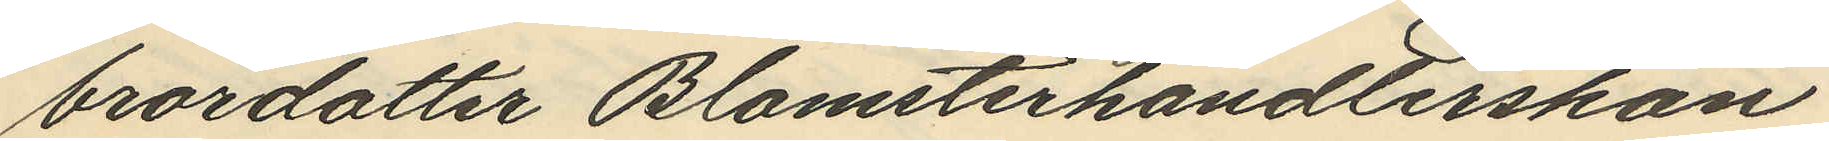brordotter Blomsterhandlerskan
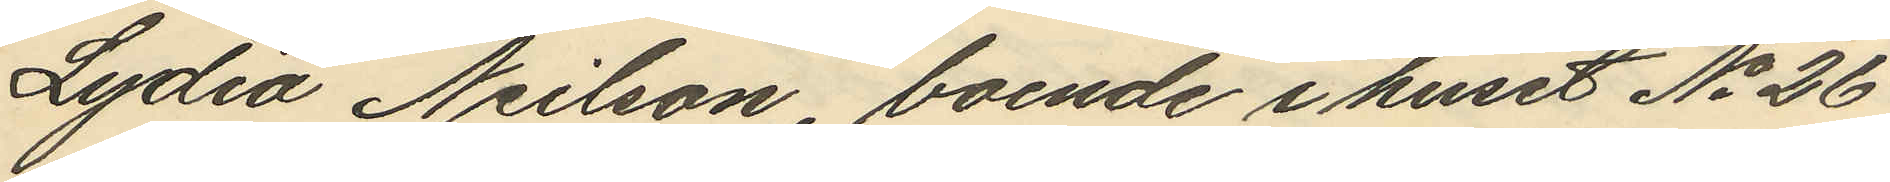Lydia Neilson, boende i huset No 26
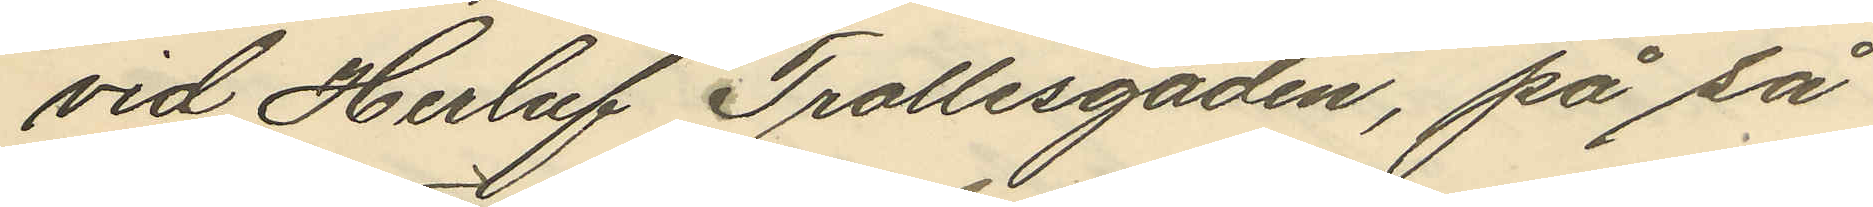vid Herluf Trollesgaden, på så
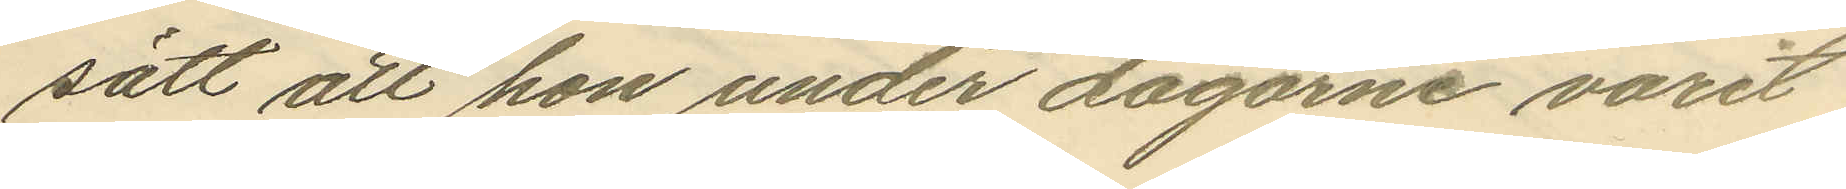sätt att hon under dagarne varit
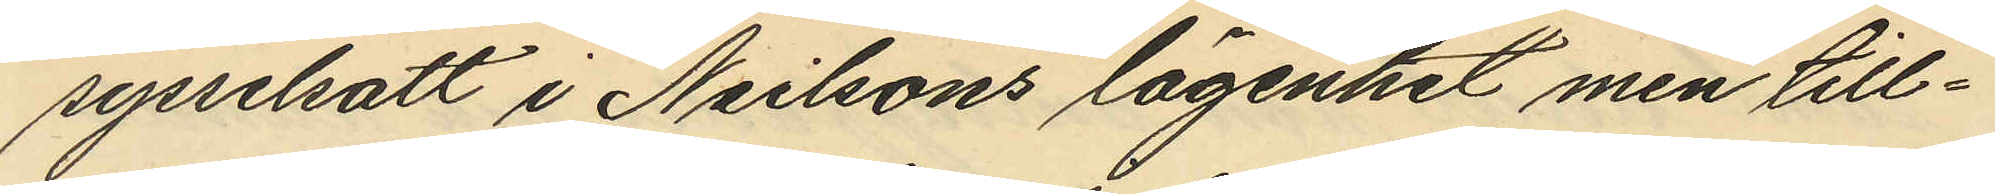sysselsatt i Neilsons lägenhet men till¬
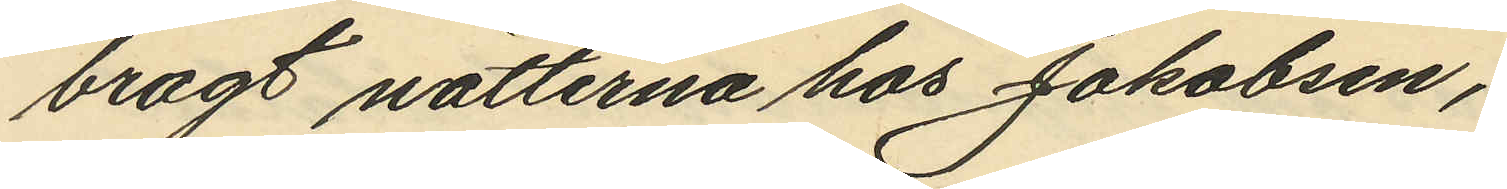bragt nätterna hos Jakobsen;
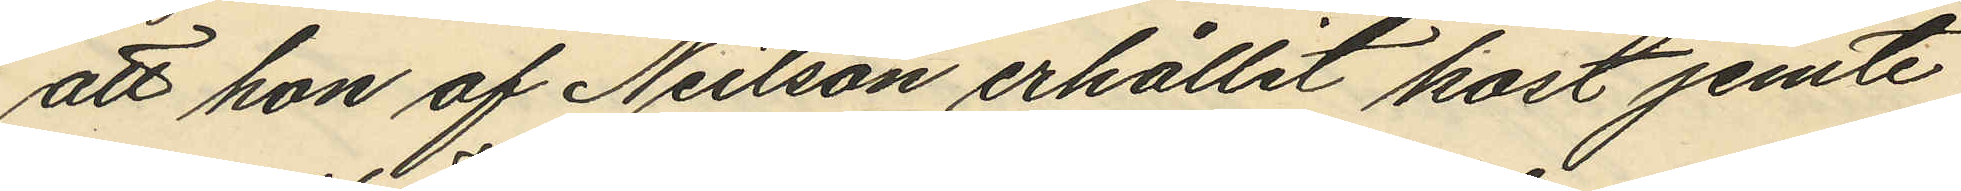att hon af Neilson erhållit kost jemte
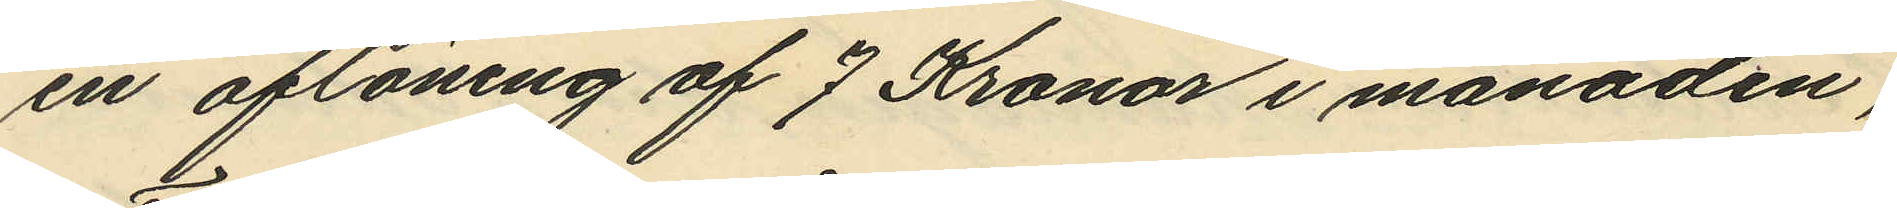en aflöning af 7 Kronor i månaden;
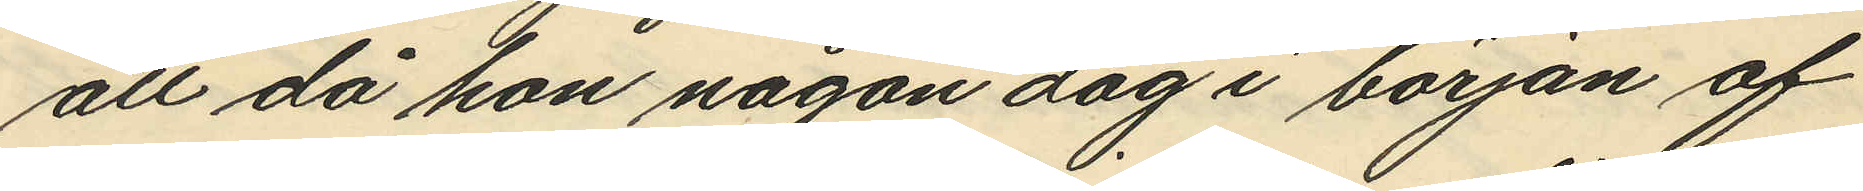att då hon någon dag i början af
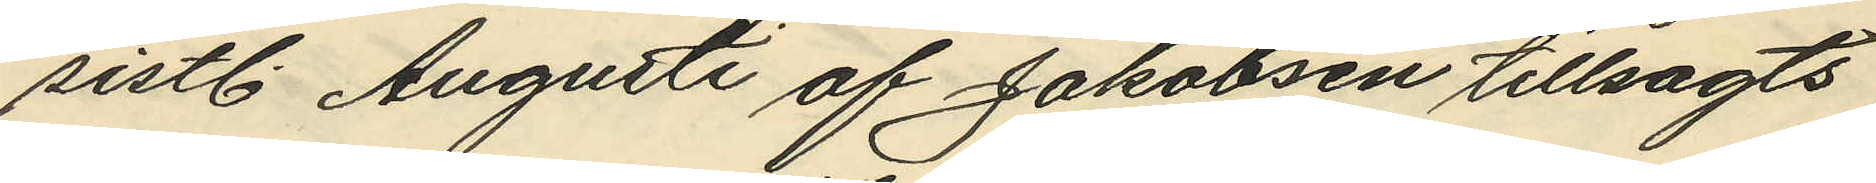sistl. Augusti af Jakobsen tillsagts
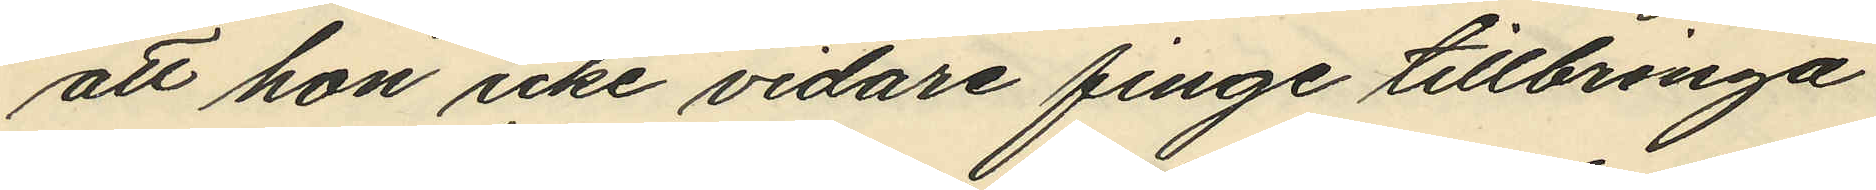att hon icke vidare finge tillbringa
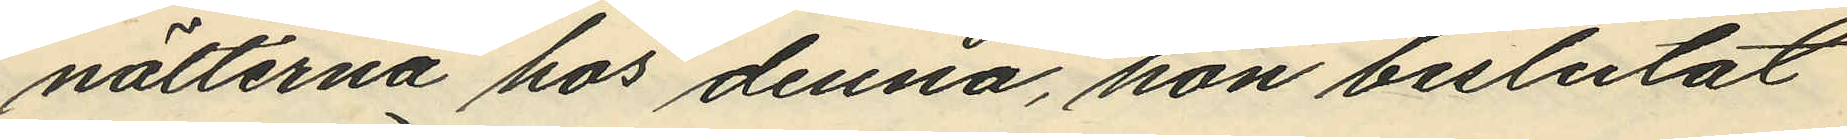nätterna hos denna, hon beslutat
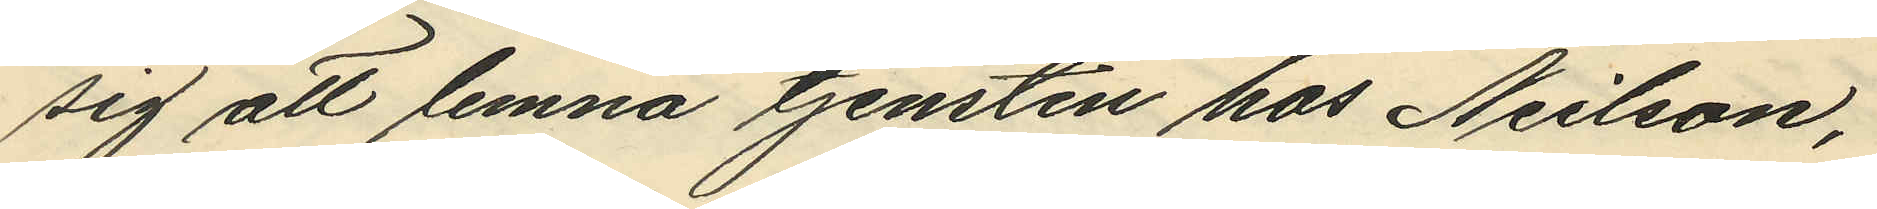sig att lemna tjensten hos Neilson,
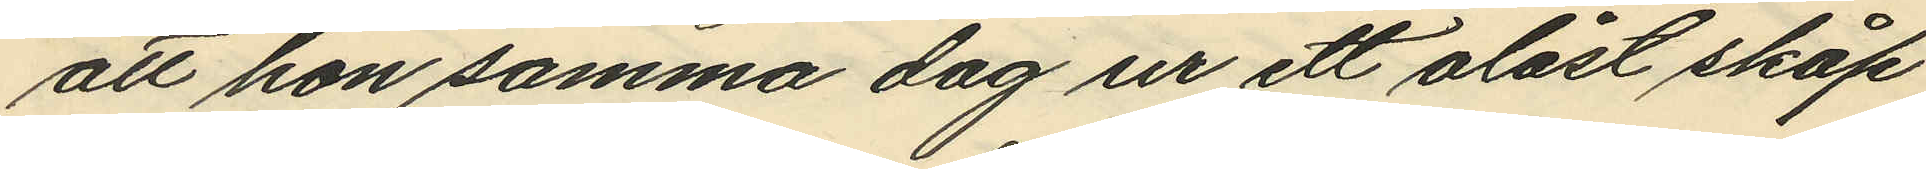att hon samma dag ur ett olåst skåp
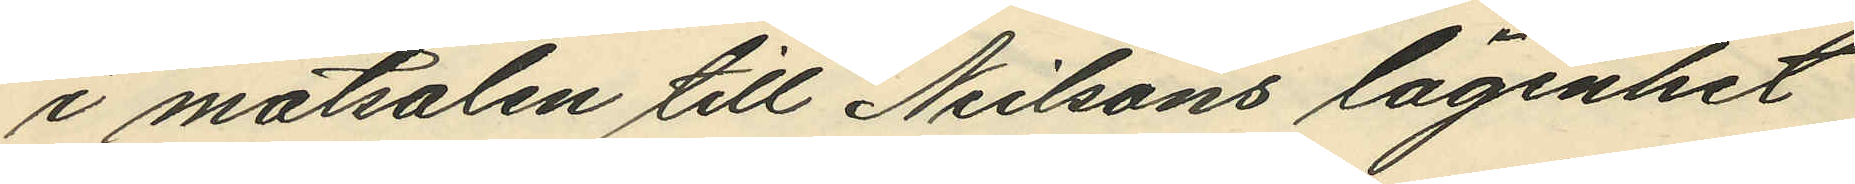i matsalen till Neilsons lägenhet
